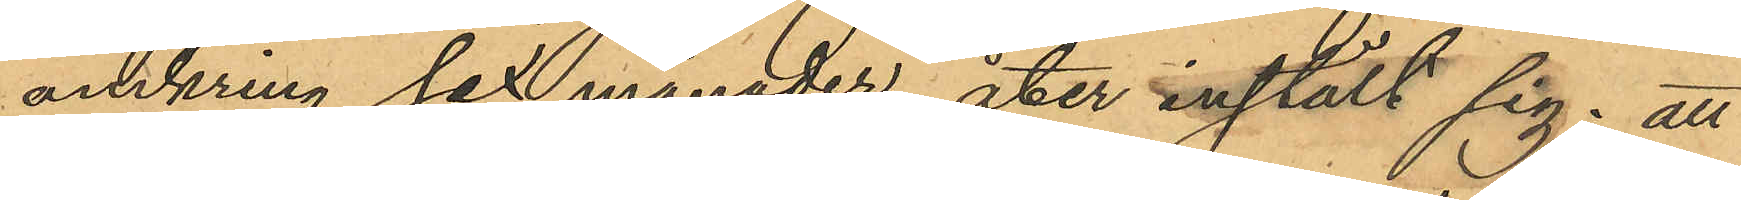omkring sex månader åter instält sig; att
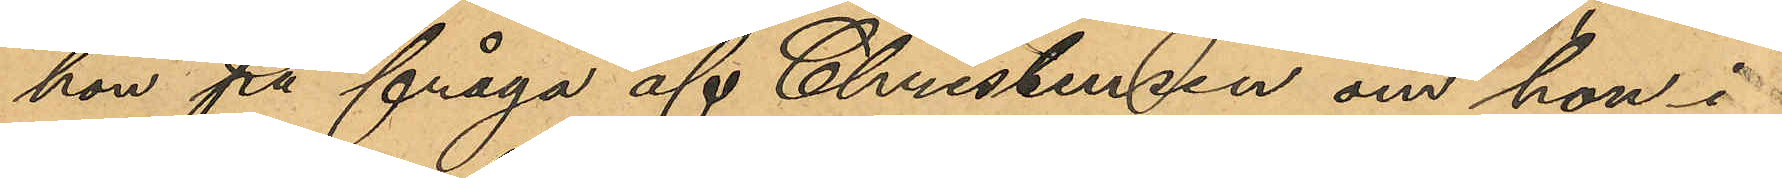hon på fråga af Christensen om hon i
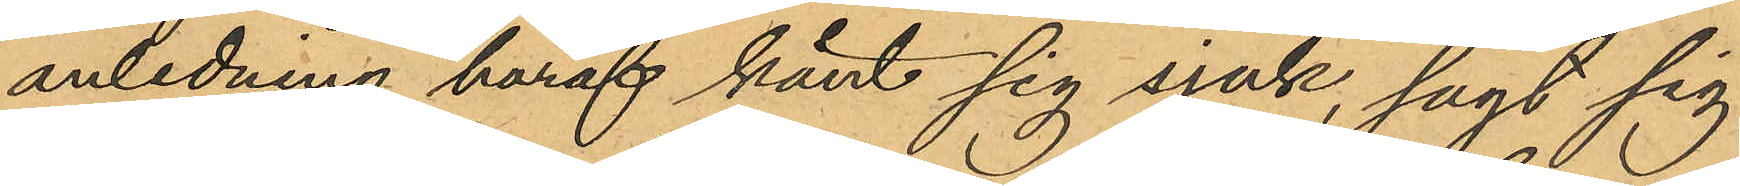anledning häraf känt sig sjuk, sagt sig
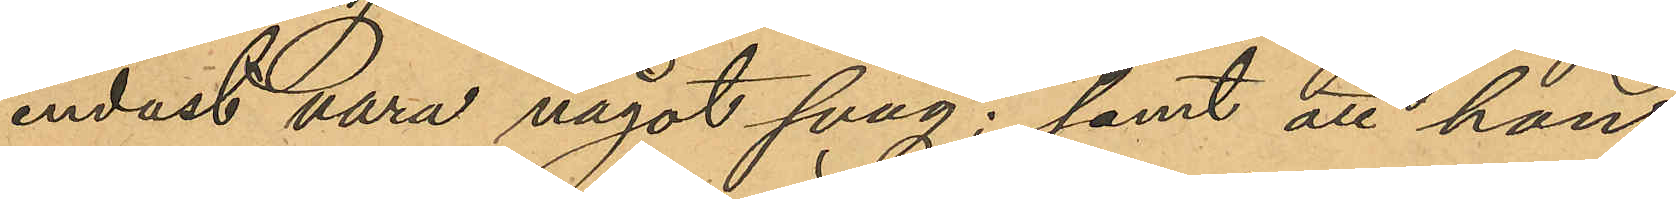endast vara något svag; samt att hon,
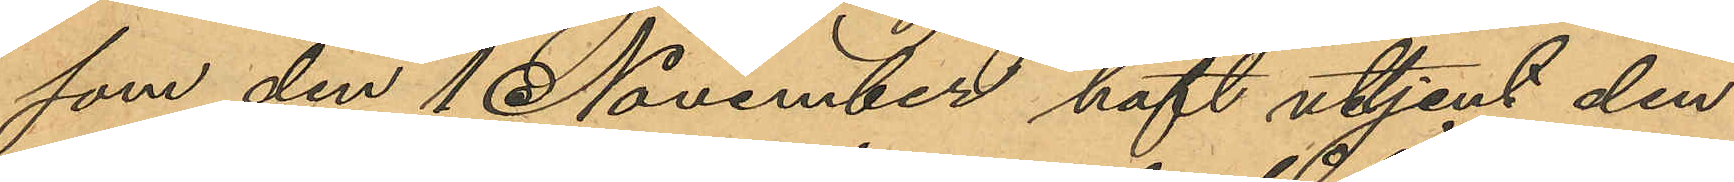som den 1 November haft uttjent den
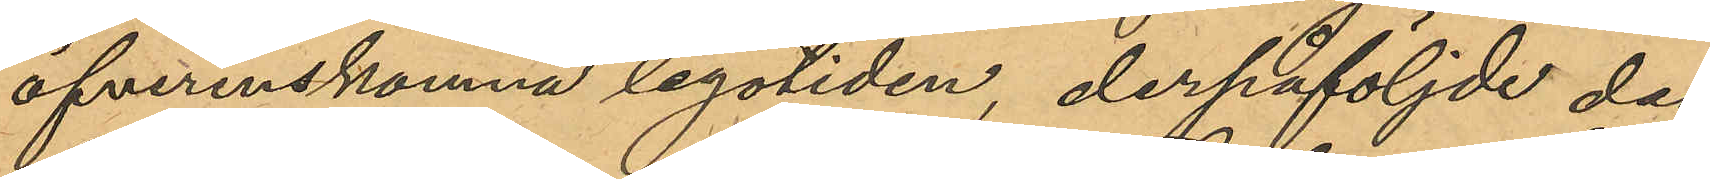öfverenskomna legotiden, derpåföljde dag
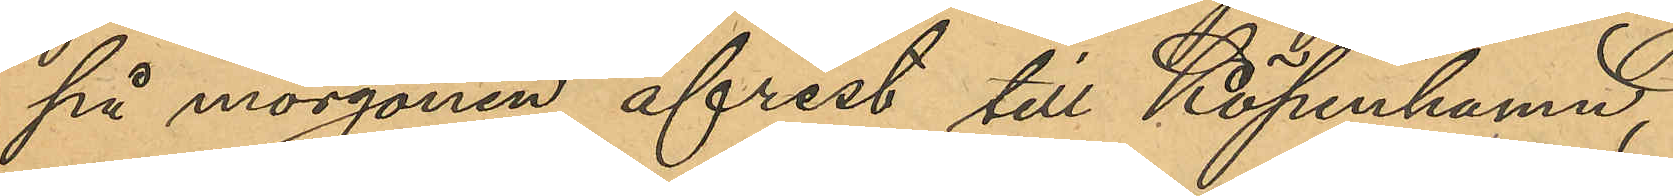på morgonen afrest till Köpenhamn,
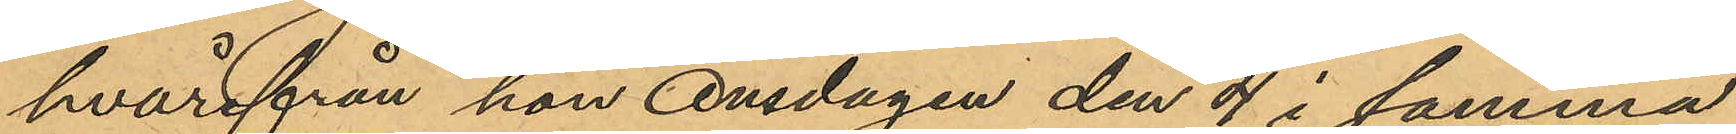hvarifrån hon onsdagen den 4 i samma
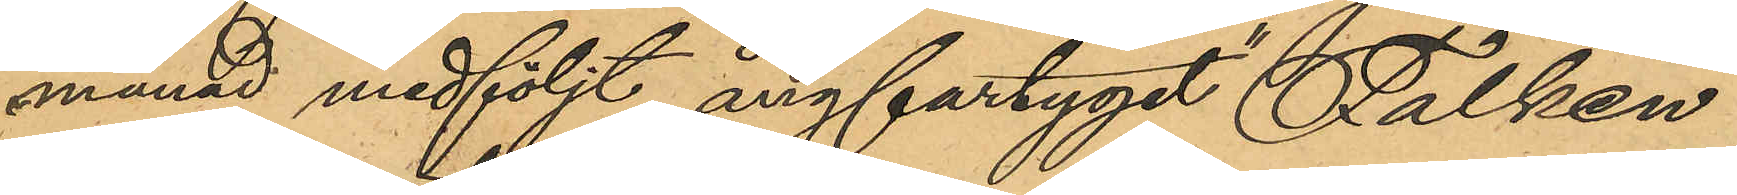månad medföljt ångfartyget "Falken"
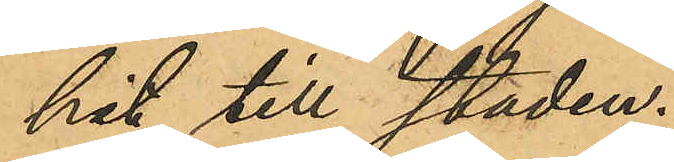hit till staden.
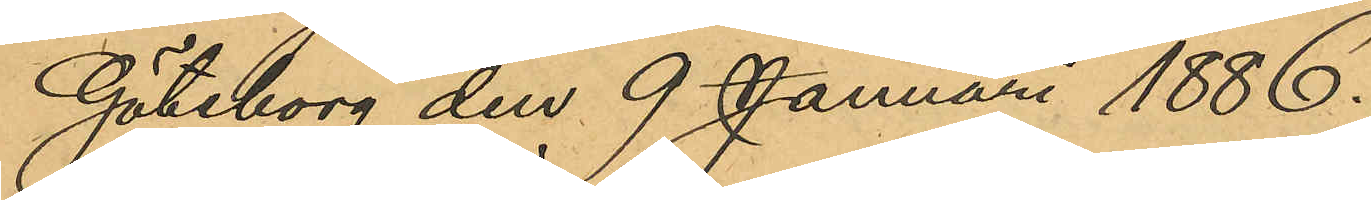Göteborg den 9 Januari 1886.
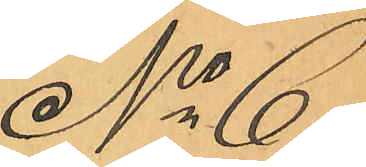No 6
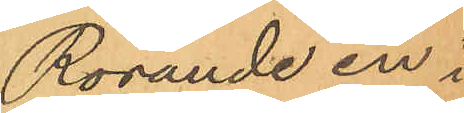Rörande en i
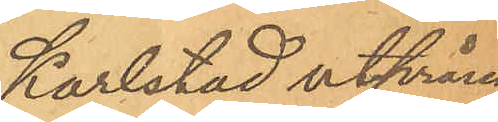Karlstad utprång¬
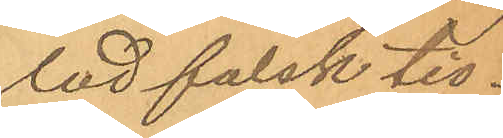lad falsk tio¬
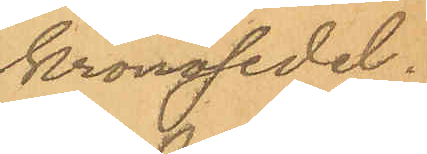kronosedel.
